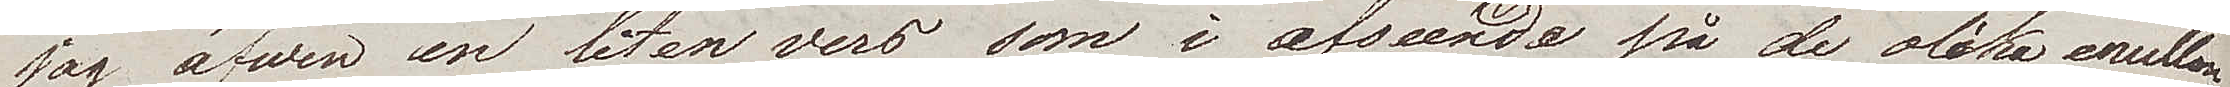jag äfwen en liten vers som i afseende på de olika emellan
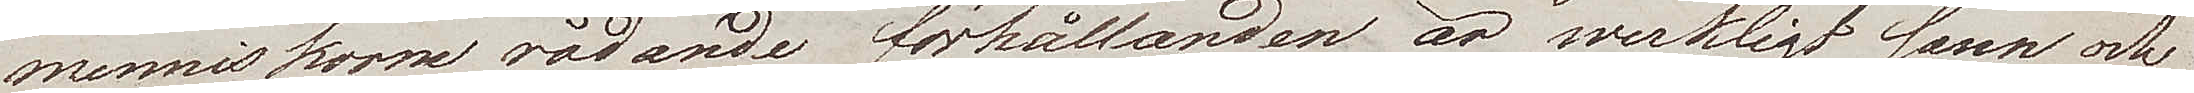menniskorne rådande förhållanden är werkligt sann och
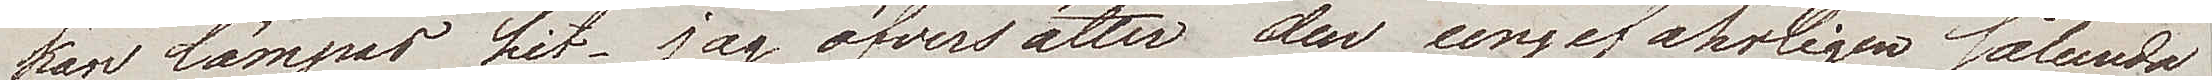kan lämpas hit. Jag öfversätter den ungefärligen sålunda
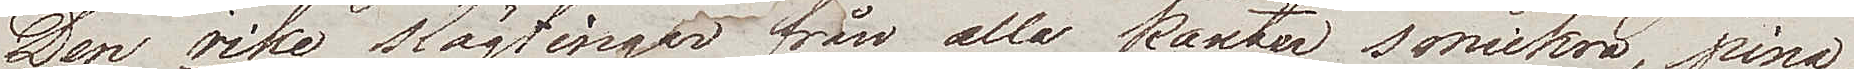Den rike slägtingar från alla kanter smickra, pina.
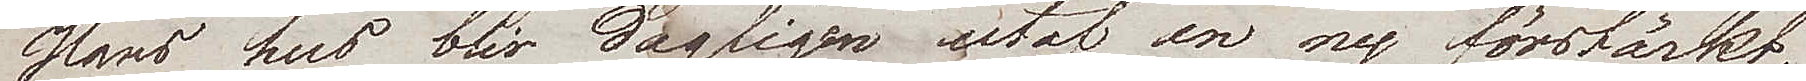Hans hus blir dagligen utaf en ny förstärkt;
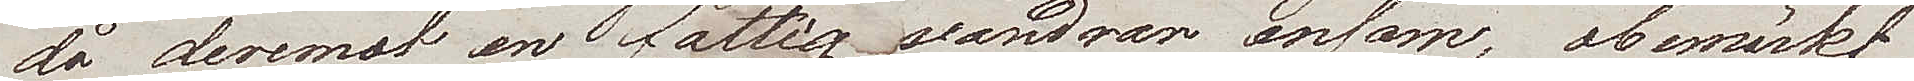då deremot en fattig vandrar ensam, obemärkt
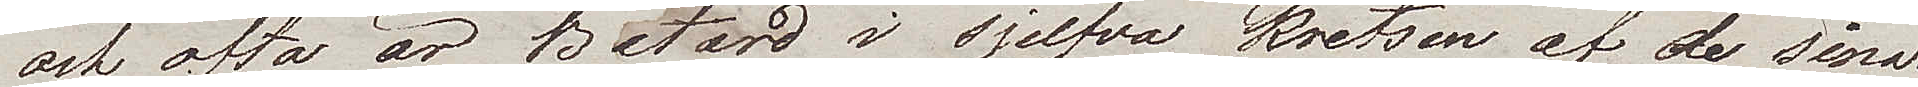och ofta är Batard i sjelfva kretsen af de sina.
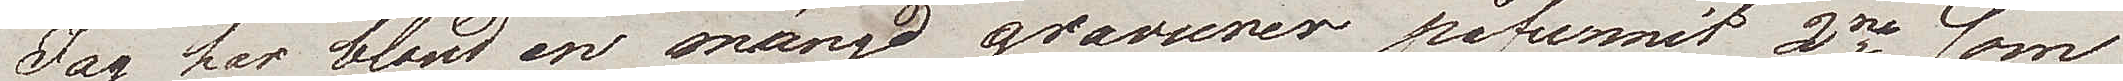Jag har bland en mängd gravurer påfunnit 2ne som
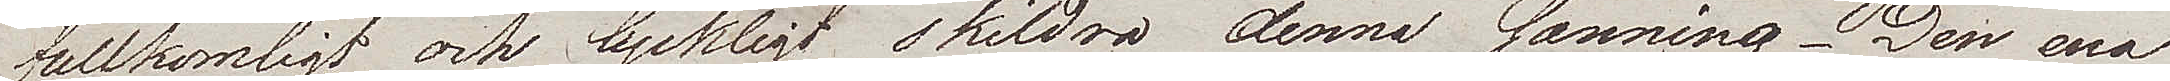fullkomligt och lyckligt skildra denna sanning. Den ena
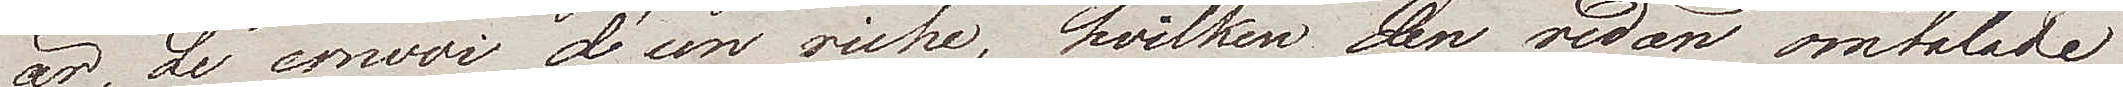är, Le convoi d'un riche, hvilken den redan omtalade
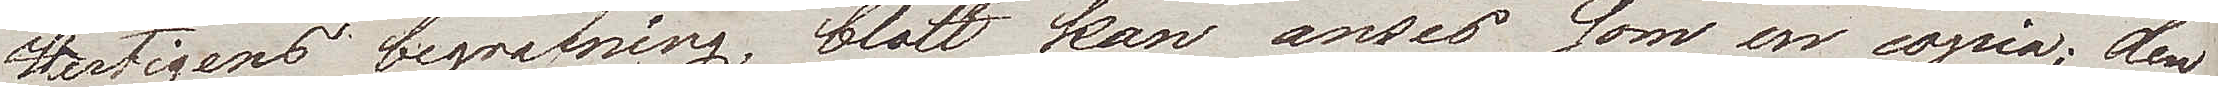Hertigens begrafning, blott kan anses som en copia; den
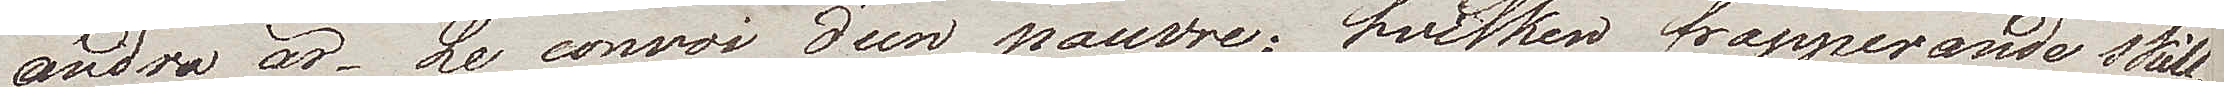andra är Le convoi d'un pauvre, hvilken frapperande skill¬
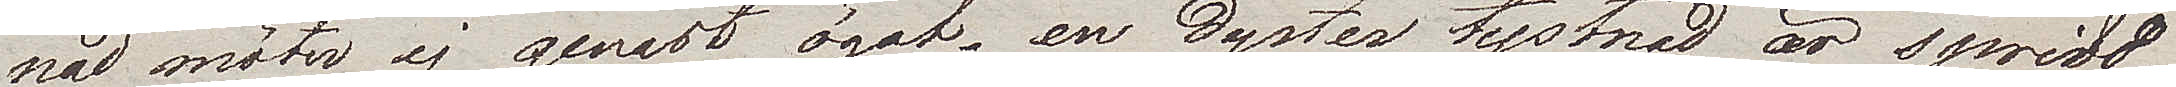nad möter ej genast ögat, en dyster tystnad är spridd
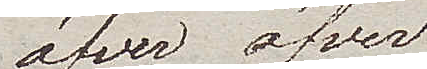äfven öfver
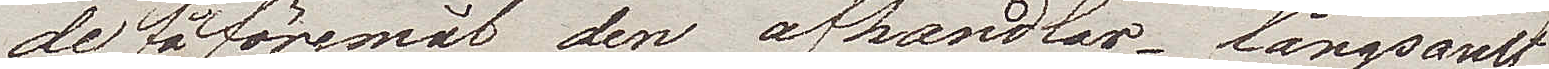de föremål den afhandlar. Långsamt
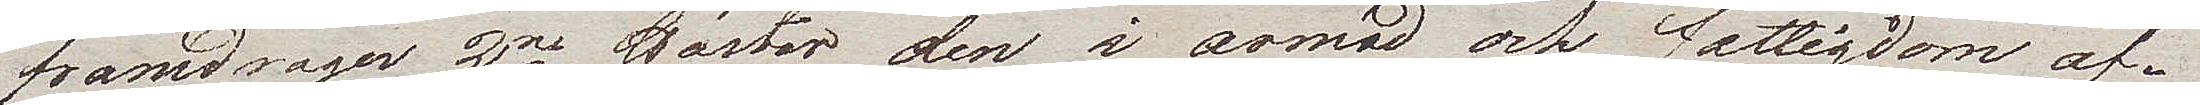framdrager 2ne hästar den i armod och fattigdom af¬
